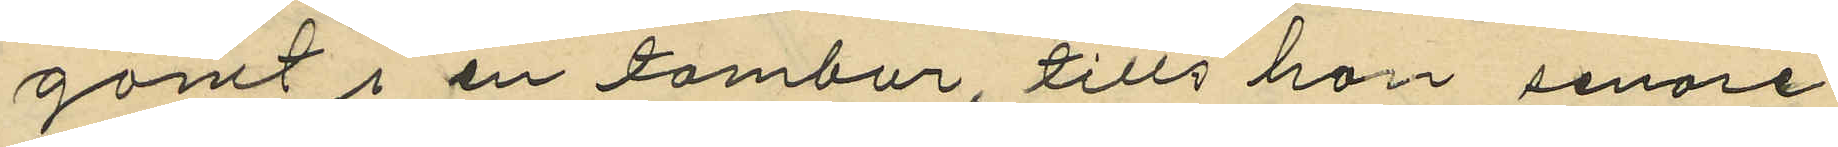gömt i en tambur, tills hon senare
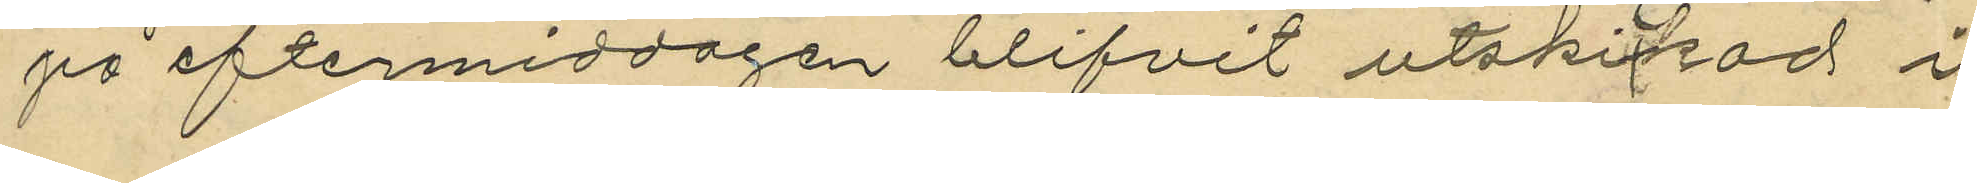på eftermiddagen blifvit utskickad i
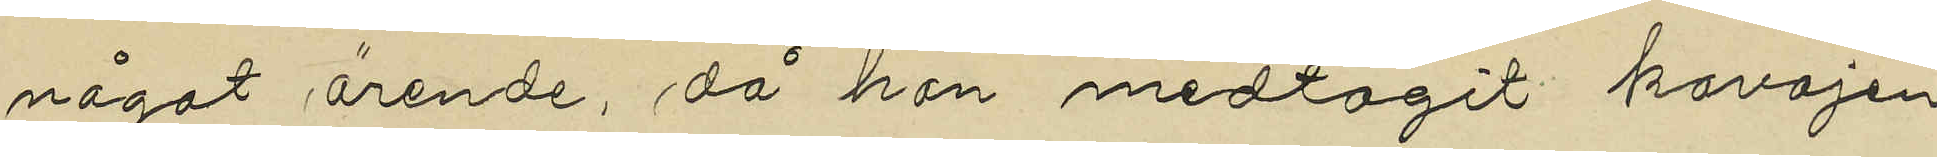något ärende, då hon medtagit kavajen
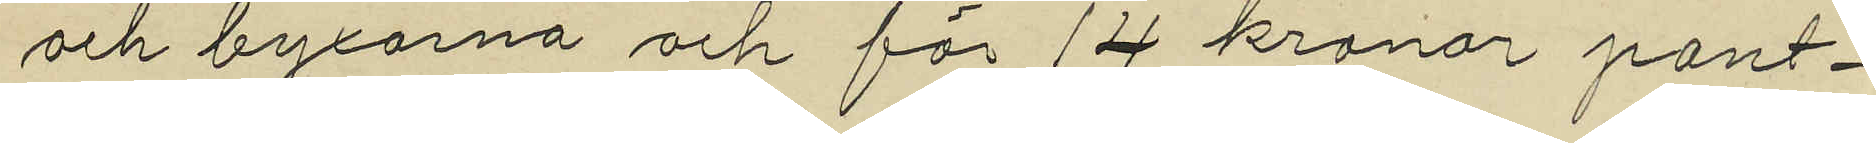och byxorna och för 14 kronor pant¬
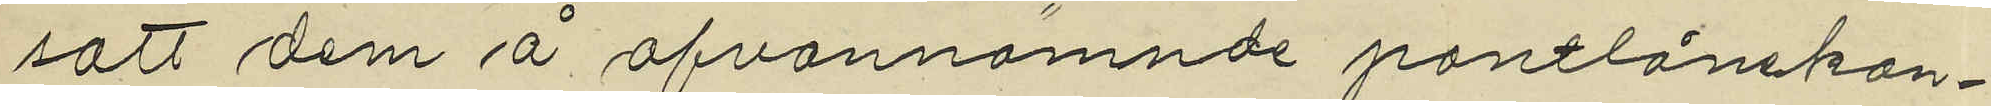satt dem å ofvannämnde pantlånekon¬
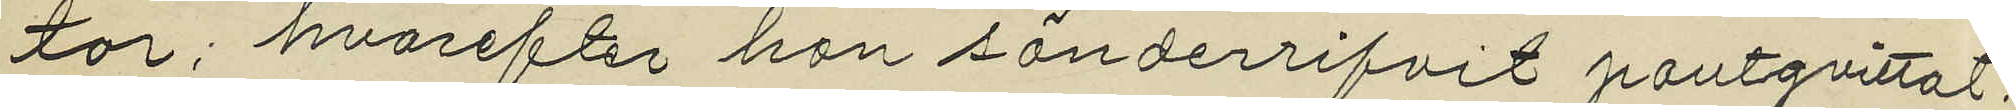tor; hvarefter hon sönderrifvit pantqvittot.
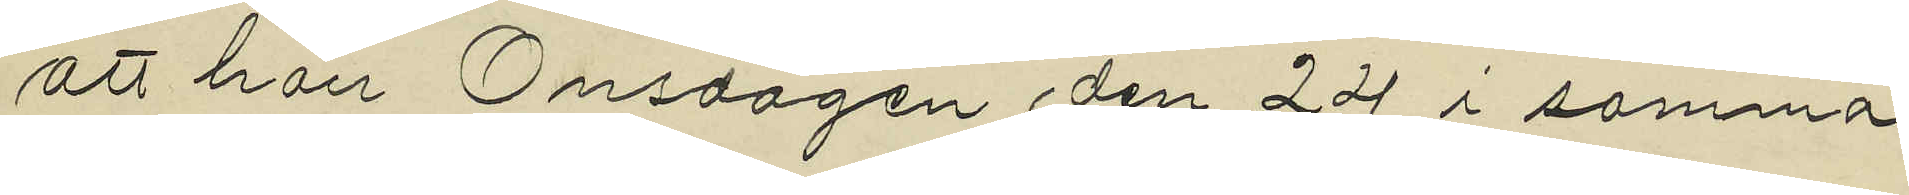att hon Onsdagen den 24 i samma
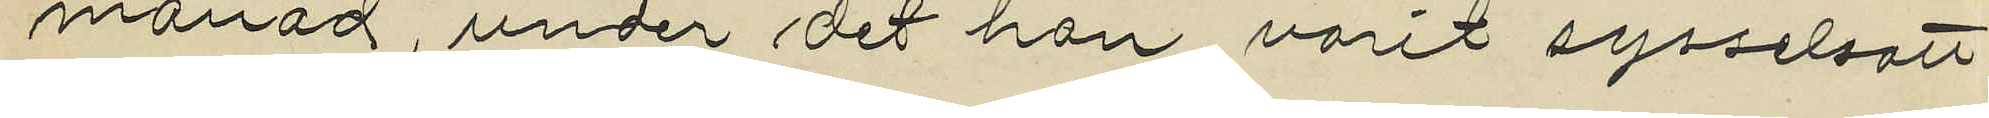månad, under det hon varit sysselsatt
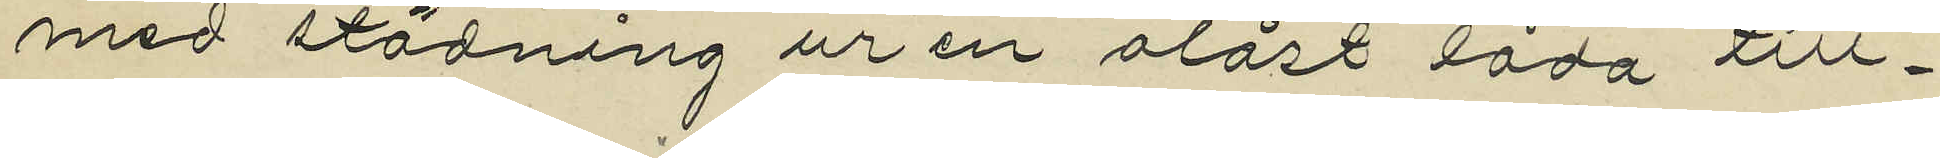med städning ur en olåst låda till¬
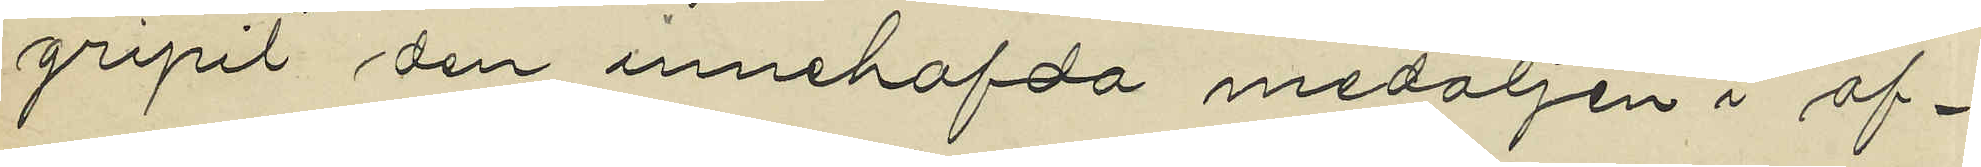gripit den innehafda medaljen i af¬
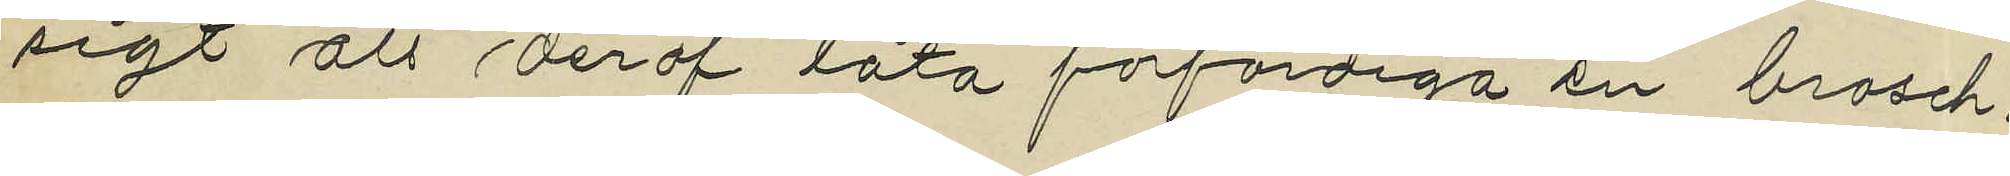sigt att deraf låta förfärdiga en brosch,
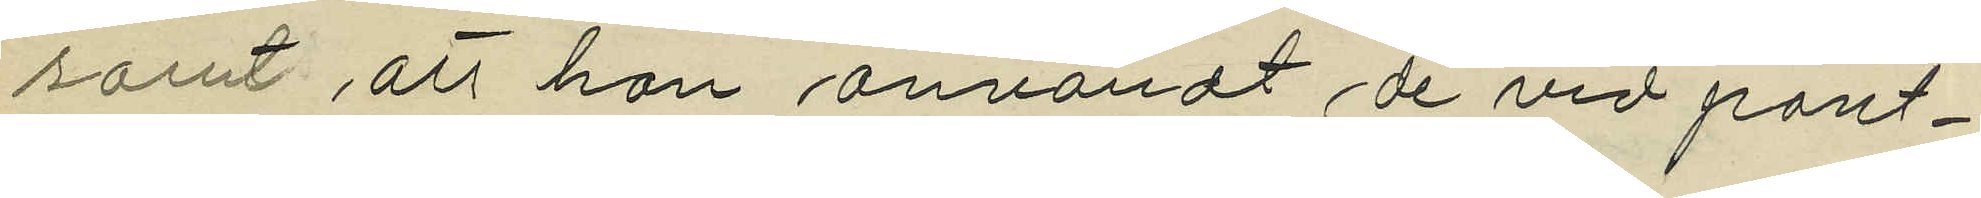samt att hon användt de vid pant¬
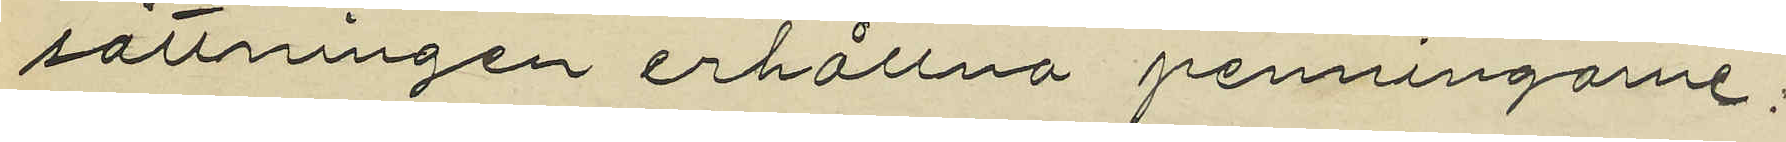sättningen erhållna penningarne;
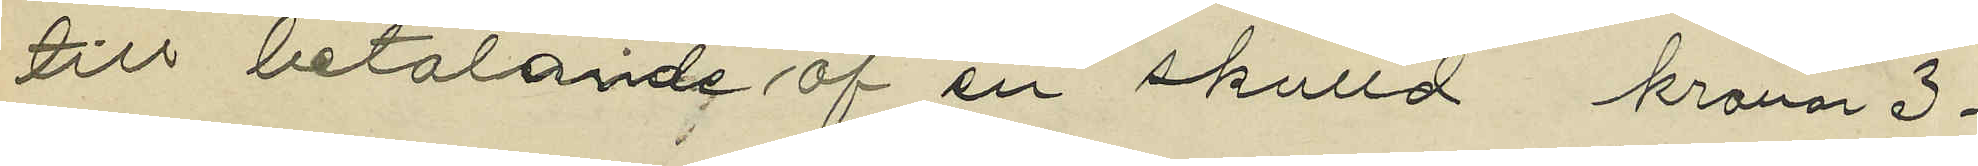till betalande af en skulld kronor 3.
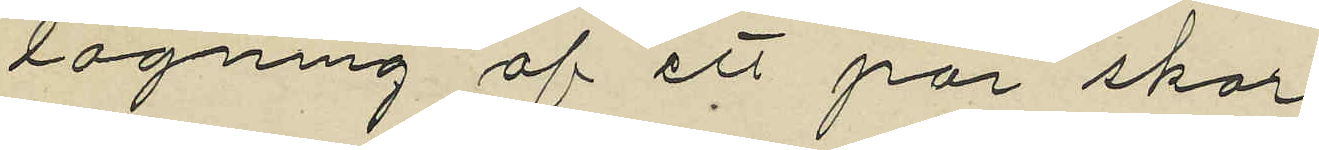lagning af ett par skor
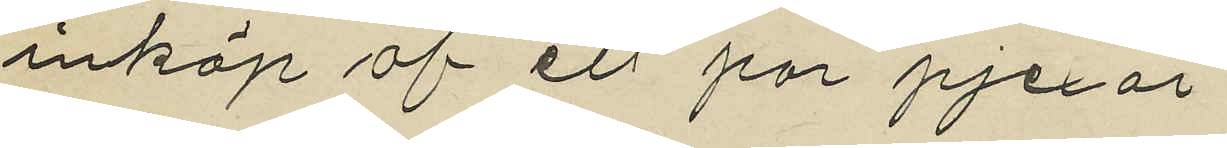inköp af ett par pjexor
